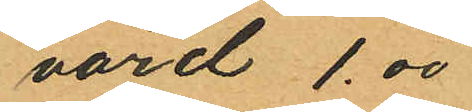värd 1.00
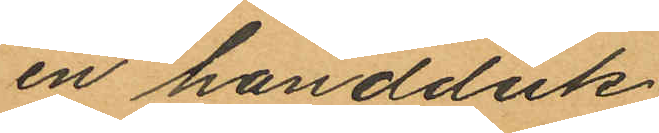en handduk
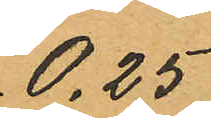0.25
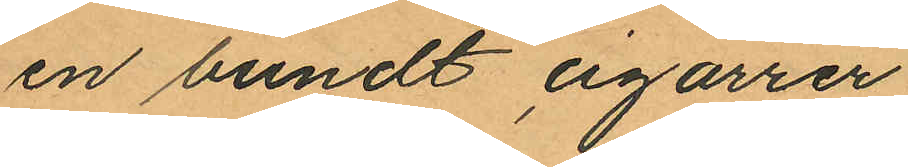en bundt, cigarrer
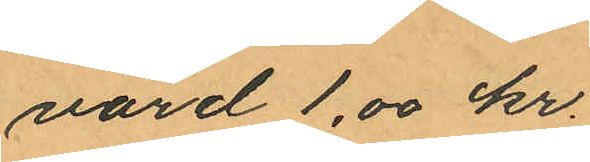värd 1.00 kr.
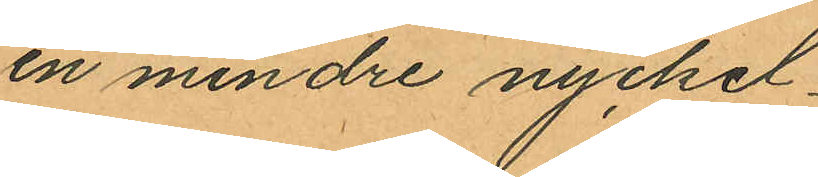en mindre nyckel
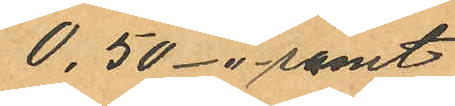0.50 -"- samt
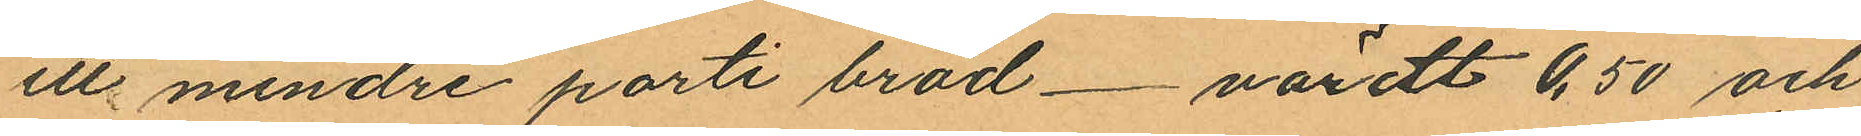ett mindre parti bröd värdt 0,50 och
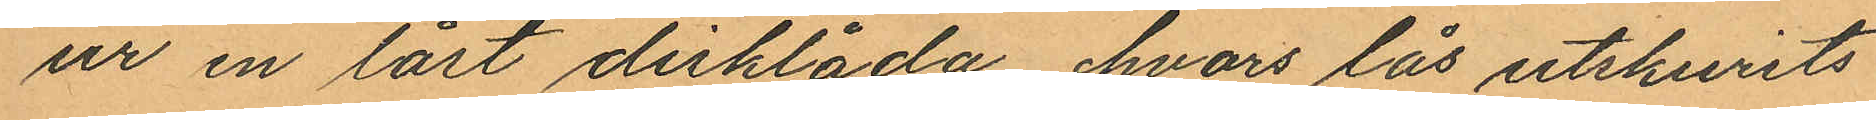ur en låst disklåda hvars lås utskurits
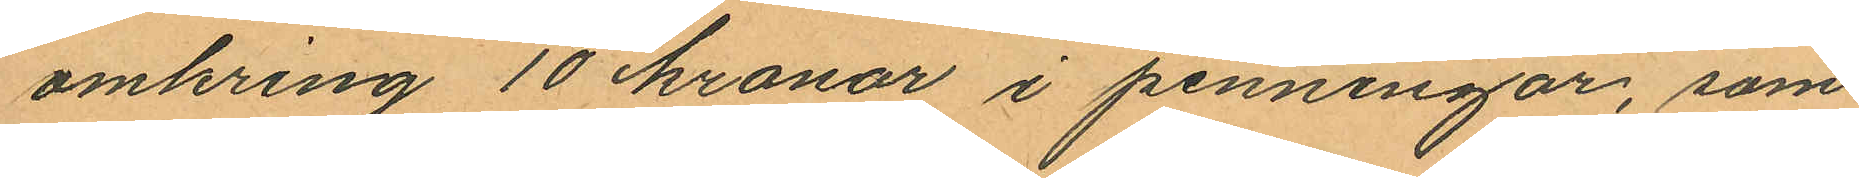omkring 10 kronor i penningar, som
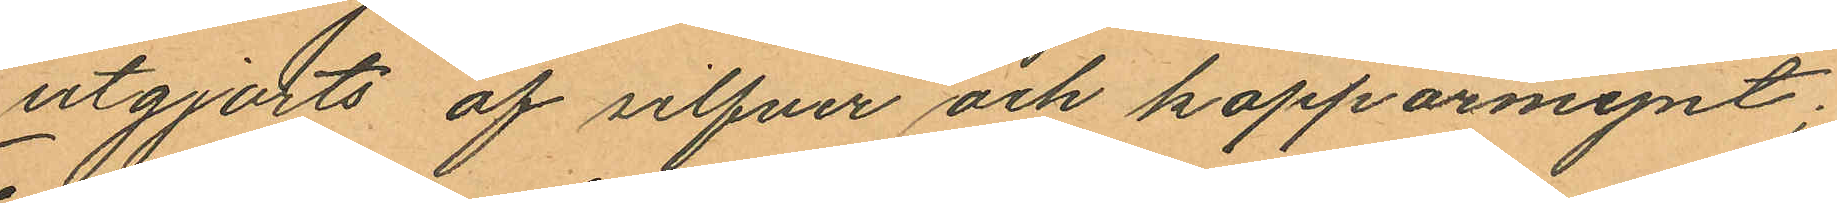utgjorts af silfver och kopparmynt;
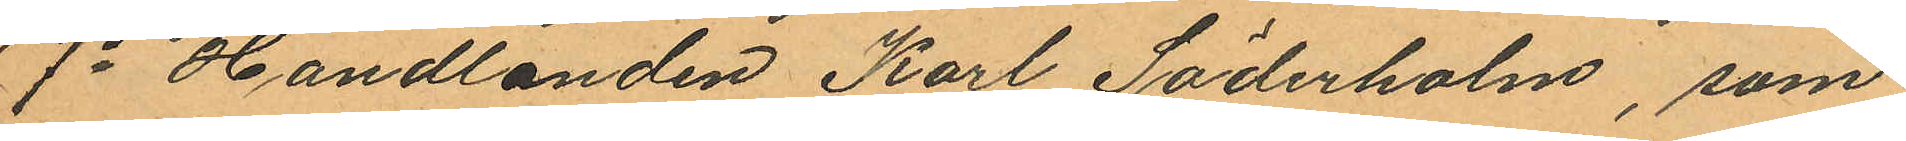7o Handlanden Karl Söderholm, som
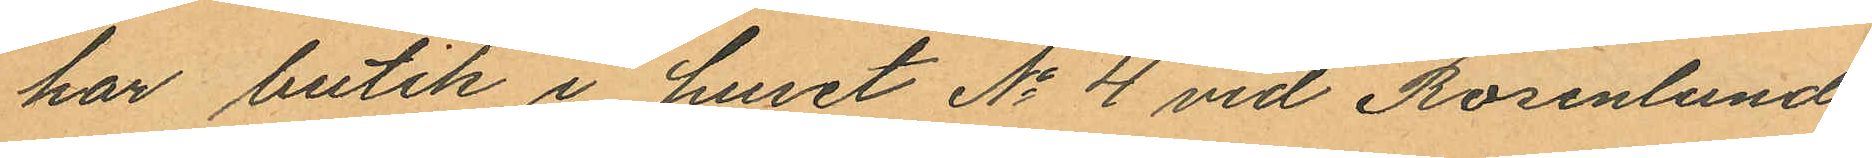har butik i huset No 4 vid Rosenlunds¬
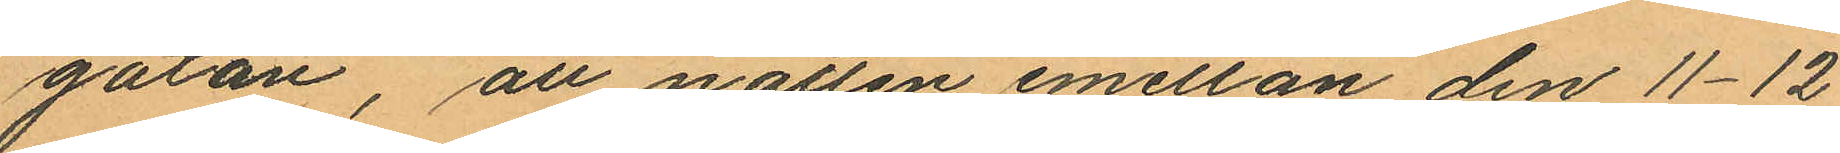gatan, att natten emellan den 11-12
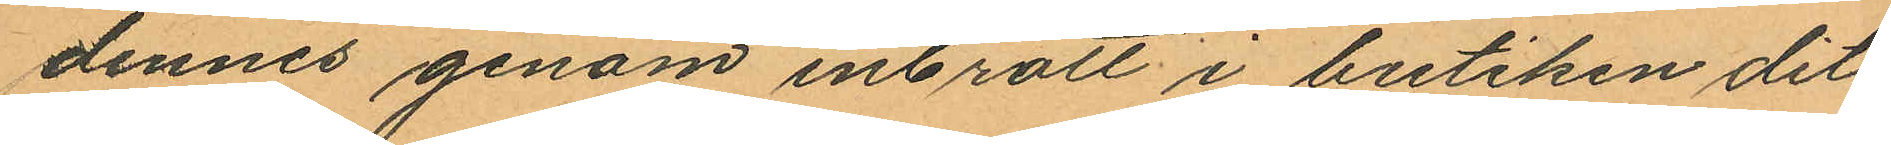dennes genom inbrott i butiken dit
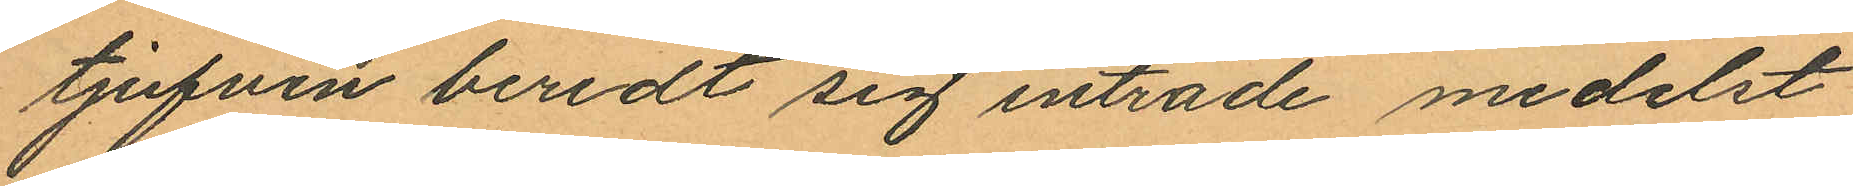tjufven beredt sig inträde medelst
